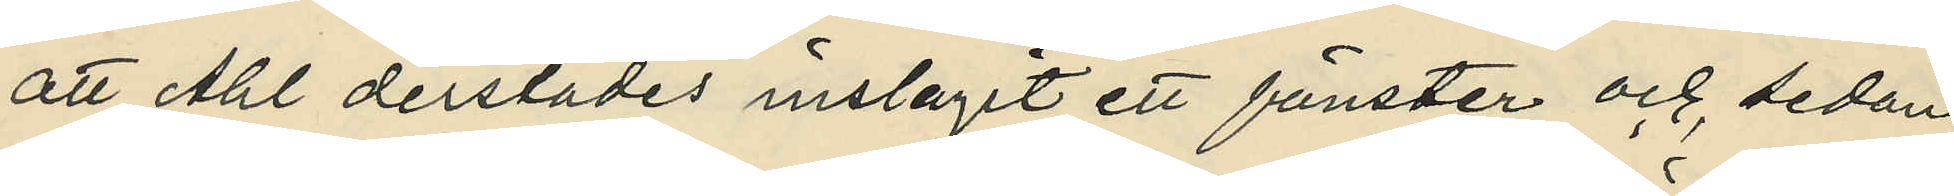att Ahl derstädes inslagit ett fönster och sedan
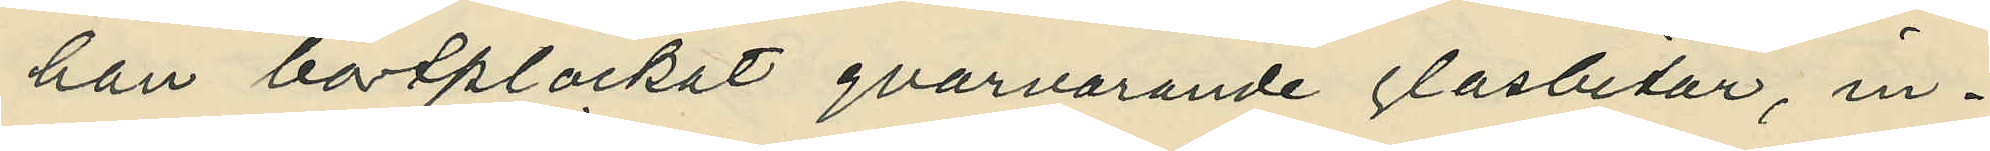han bortplockat qvarvarande glasbitar, in¬
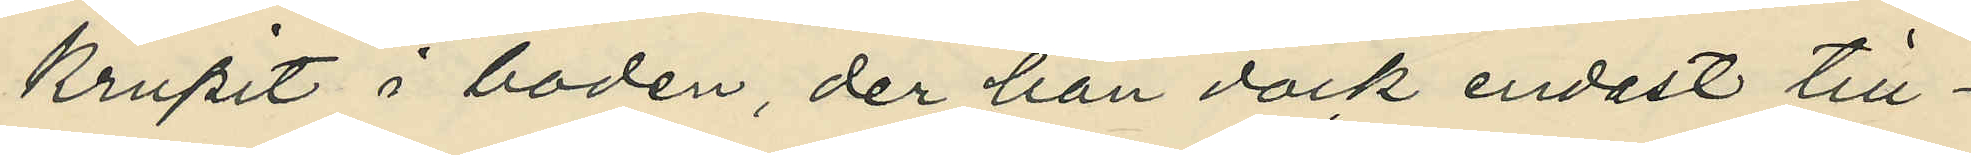krupit i boden, der han dock endast till¬
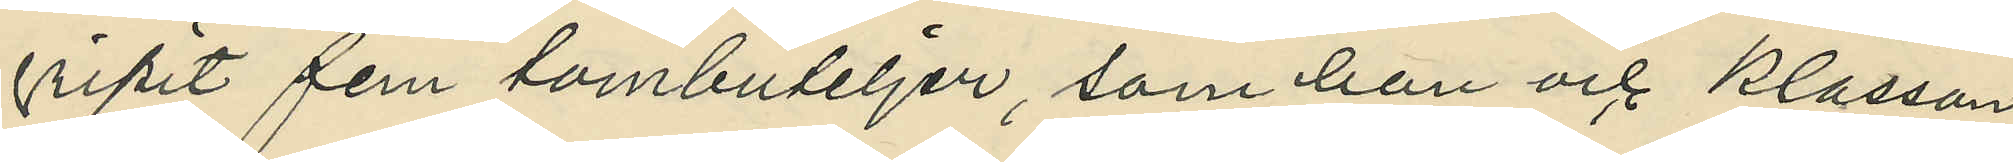gripit fem tombuteljer, som han och Klasson
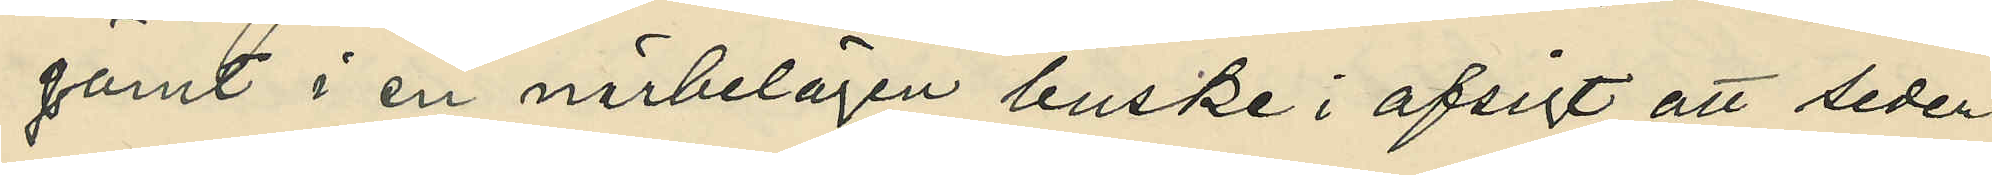gömt i en närbelägen buske i afsigt att seder¬
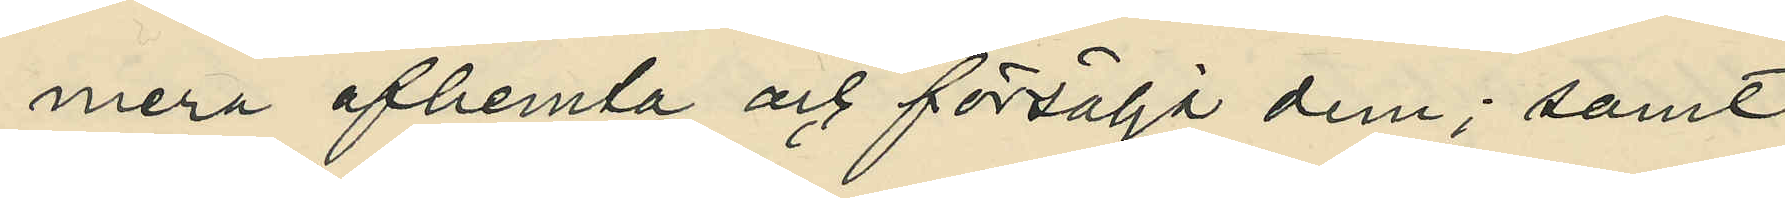mera afhemta och försälja dem; samt
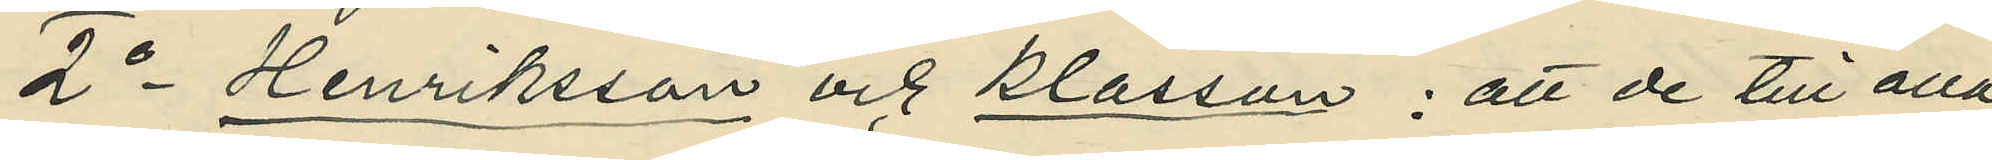2o Henriksson och Klasson : att de till alla
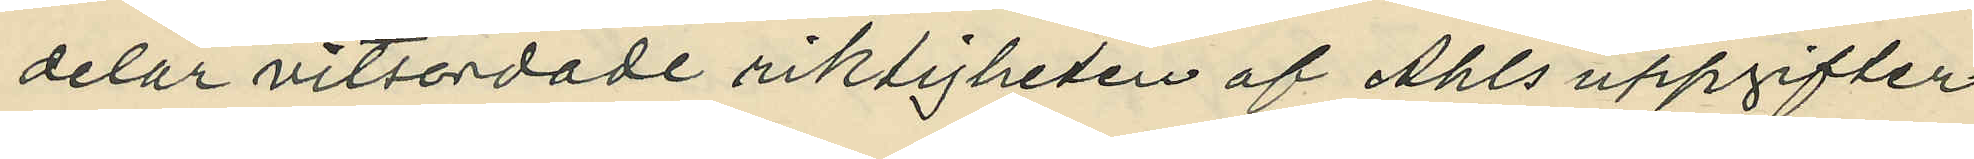delar vitsordade riktigheten af Ahls uppgifter
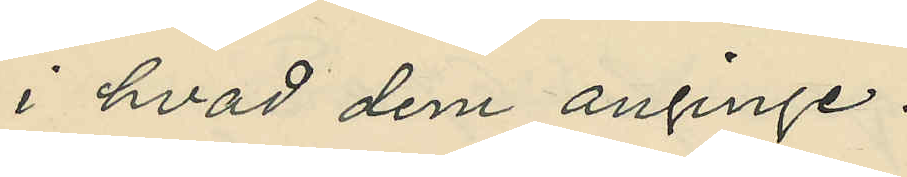i hvad dem anginge.
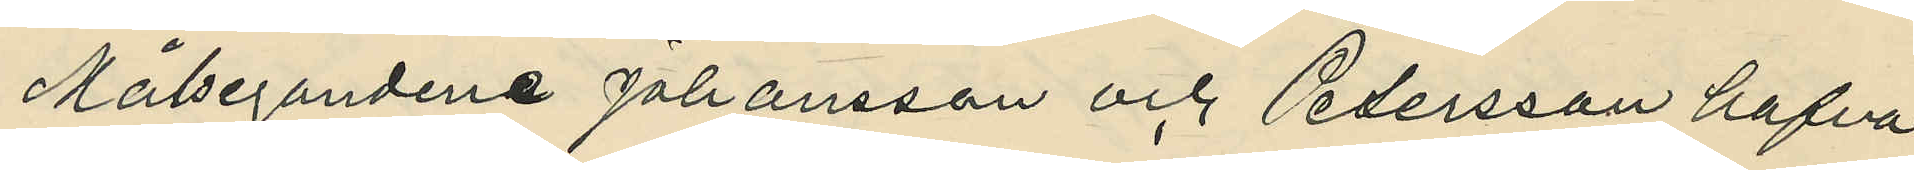Målsegandene Johansson och Petersson hafva
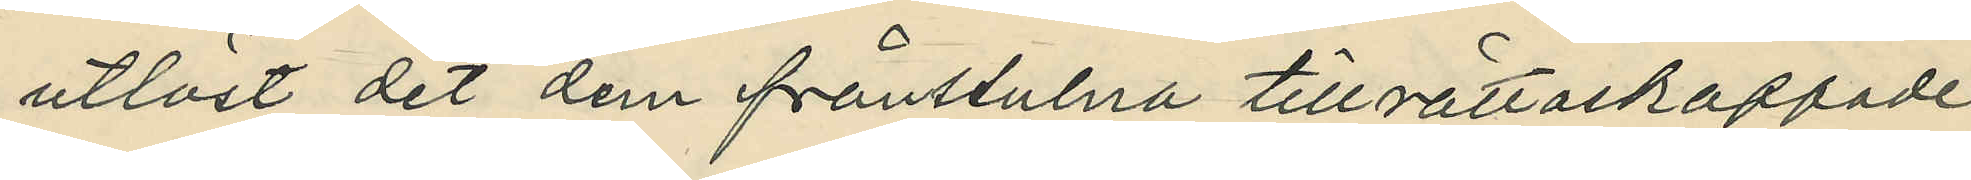utlöst det dem frånstulna tillrättaskaffade
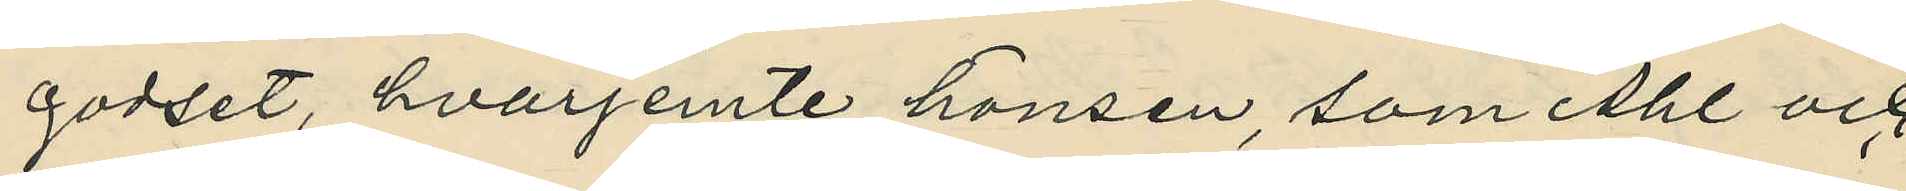godset, hvarjemte hönsen, som Ahl och
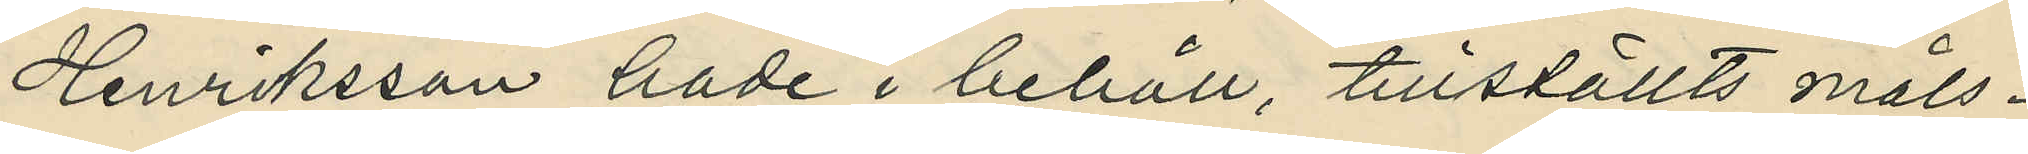Henriksson hade i behåll, tillställts måls¬
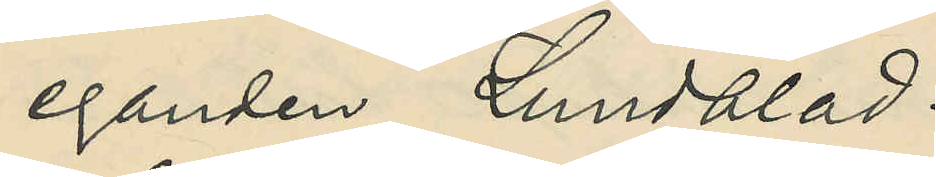eganden Lundblad.
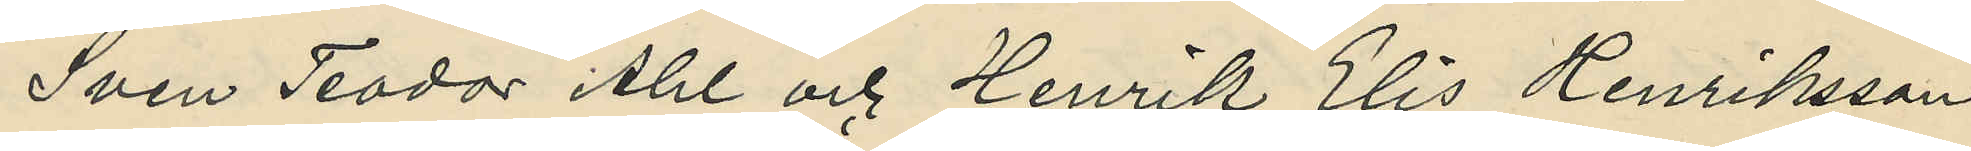Sven Teodor Ahl och Henrik Elis Henriksson
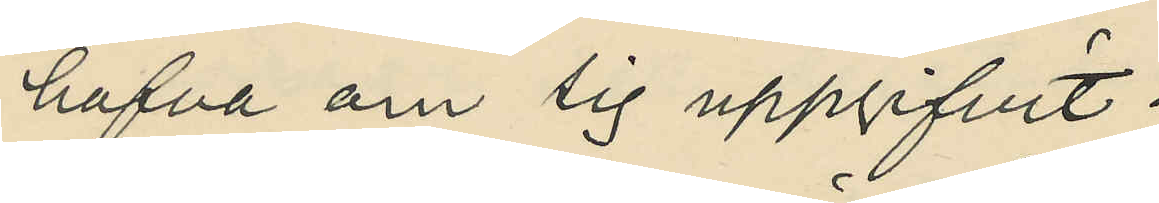hafva om sig uppgifvit :
